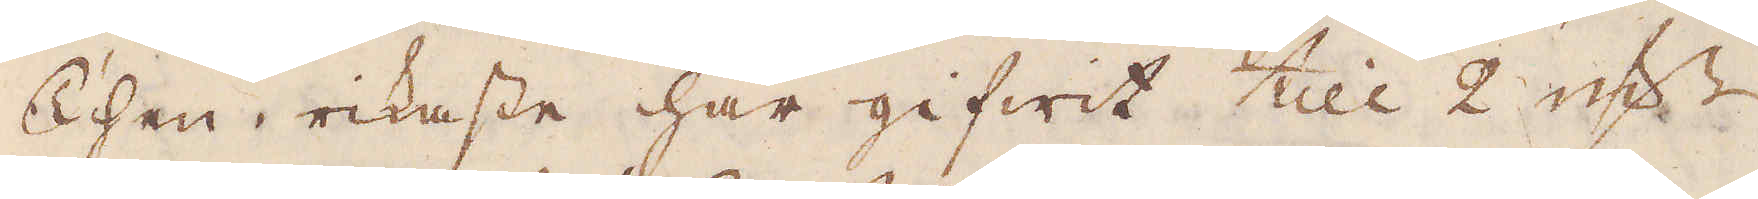Then rikaste har gifwit till 2 qw:r
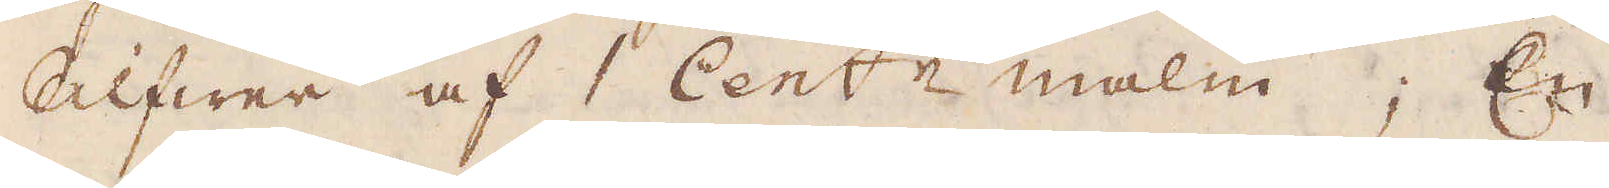Silfwer af 1 Cent:r malm; En
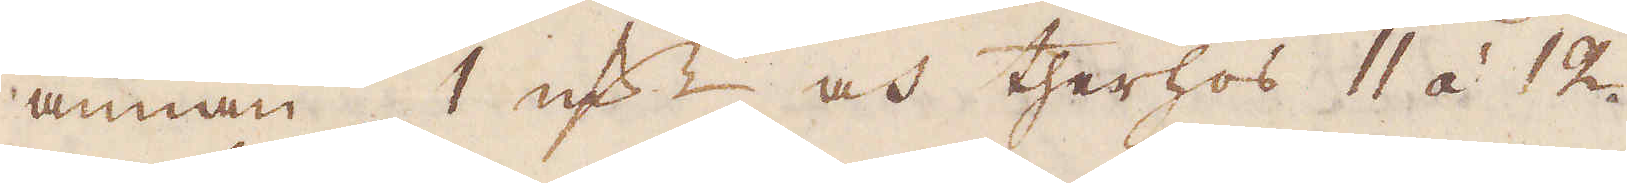annan 1 qw:r och therhos 11 á 12
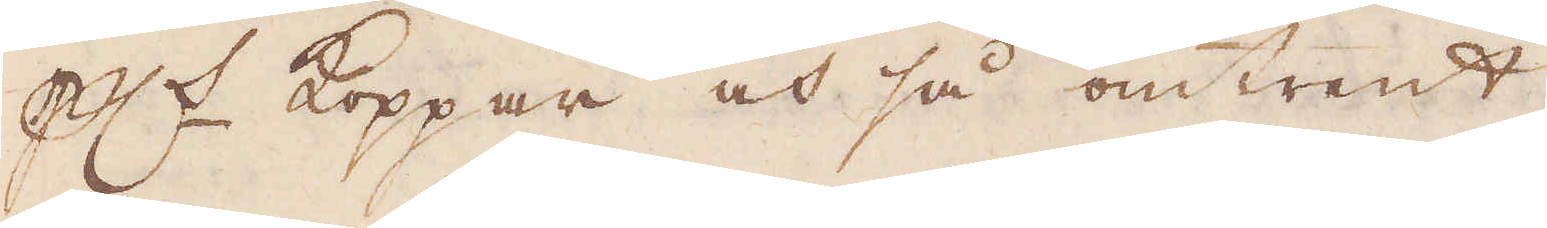p:ct Koppar och så omtrent.
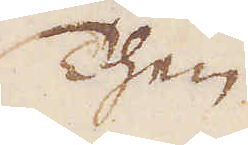Then
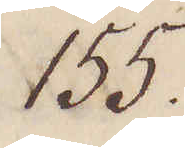155.
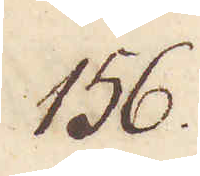156.
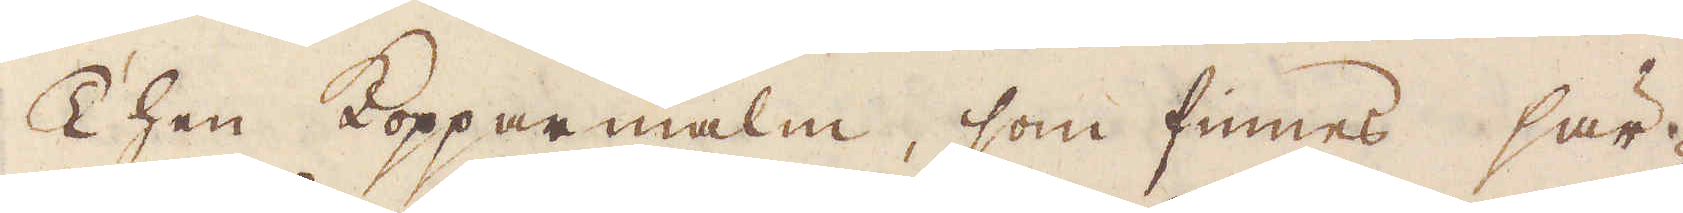Then Kopparmalm, som finnes sär-
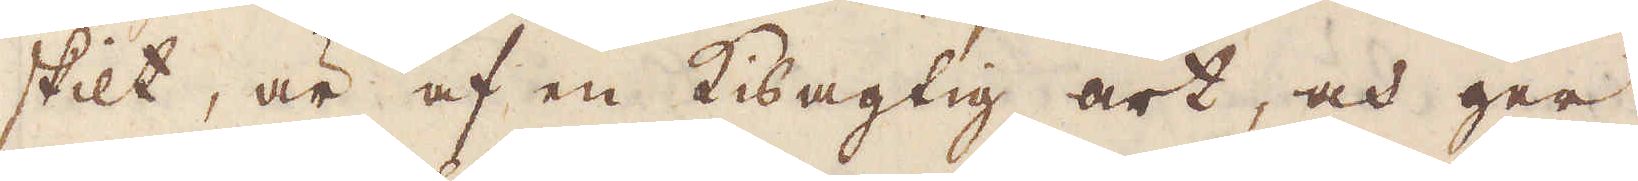skilt, är af en Kisagtig art, och ger
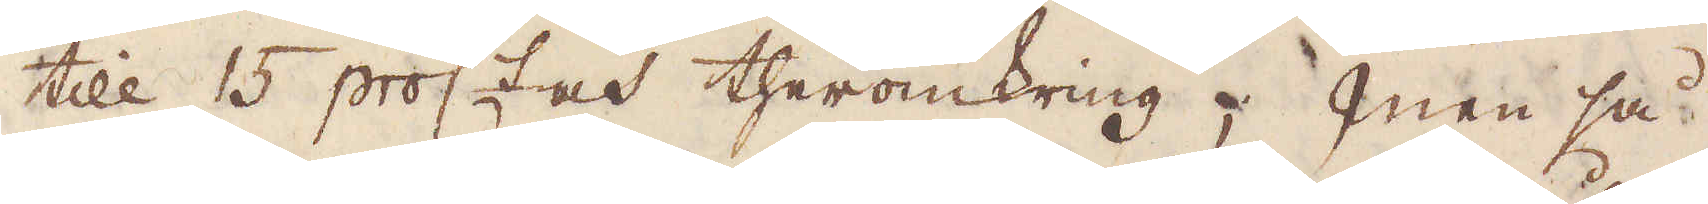till 15 proc:t och theromkring; men så
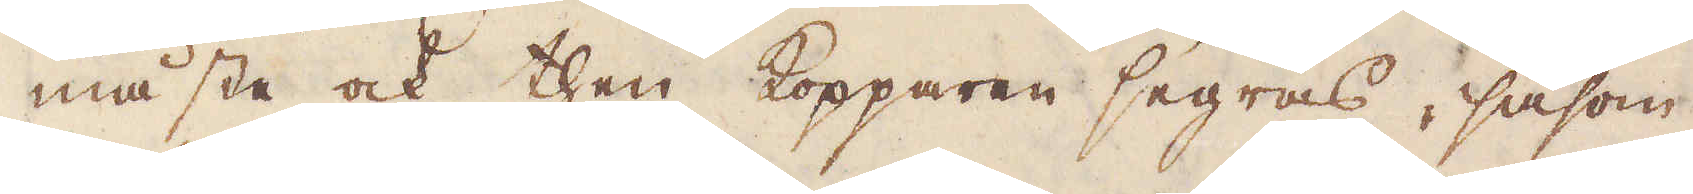måste ock then Kopparen segras, såsom
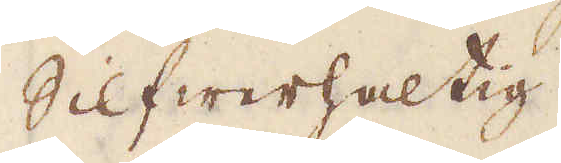Silfwerhaltig.
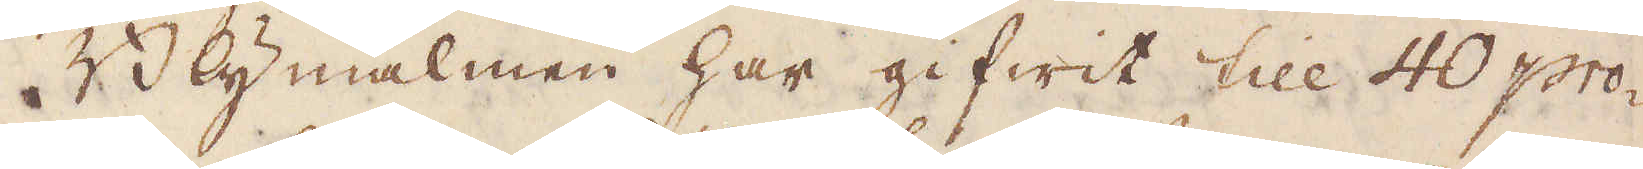Blymalmen har gifwit till 40 pro-
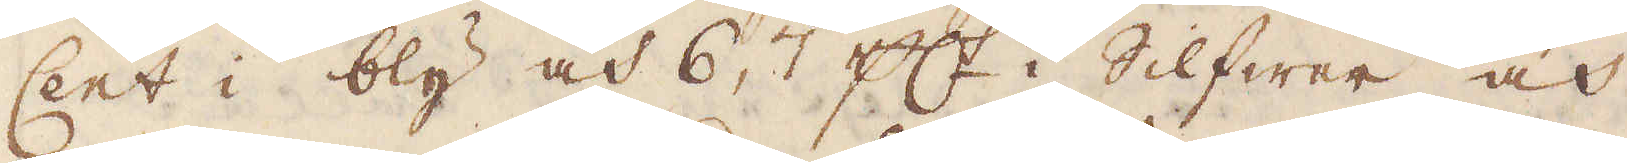Cent i bly och 6, 7 p:ct i Silfwer och
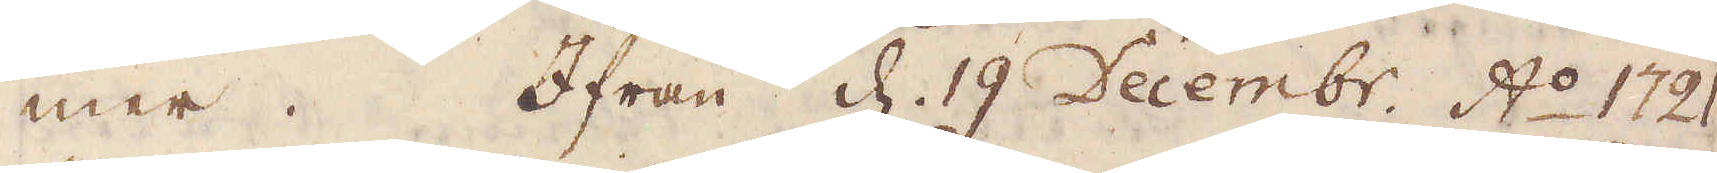mer. Ifrån d. 19 Decembr. A:o 1721
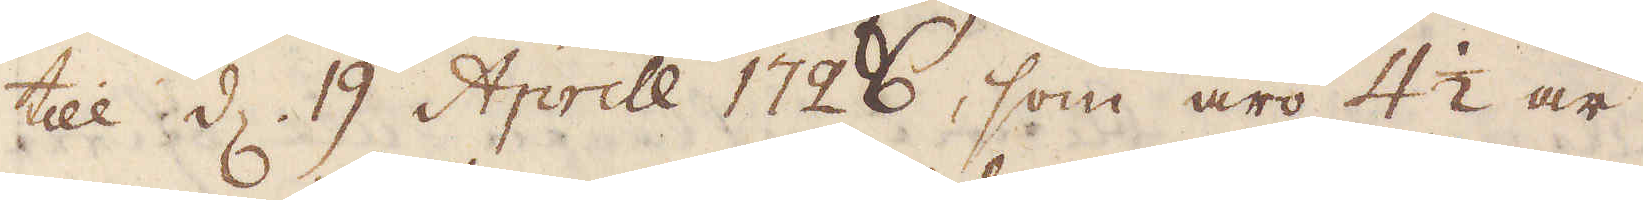till d. 19 Aprill 1726, som äro 4 1/2 år,
